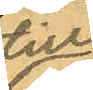till
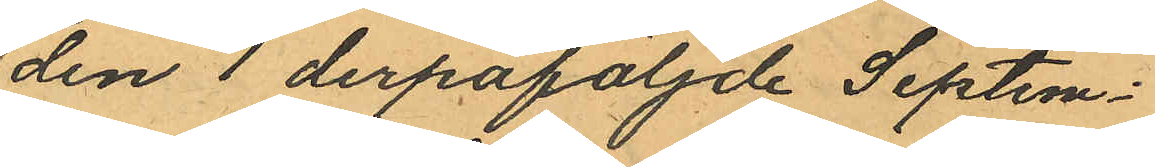den 1 derpåföljde Septem¬
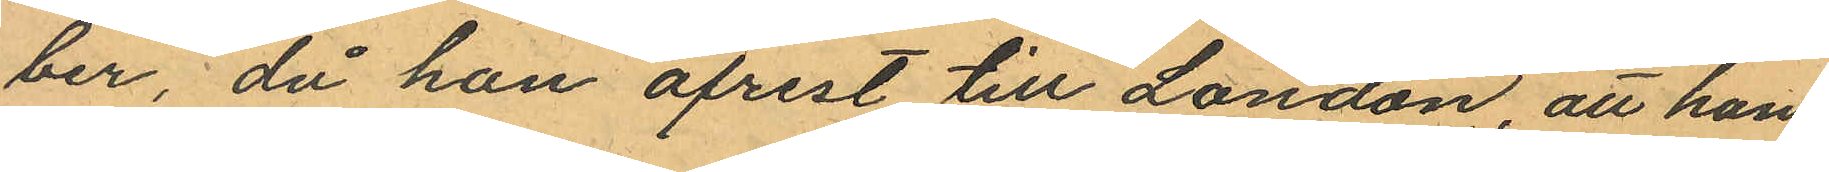ber, då han afrest till London, att han
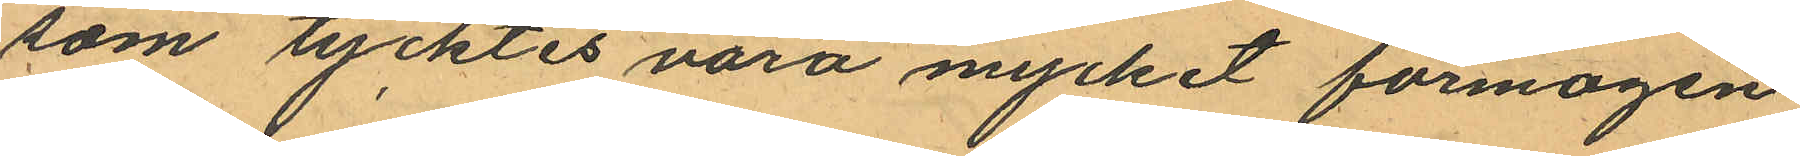som tycktes vara mycket förmögen
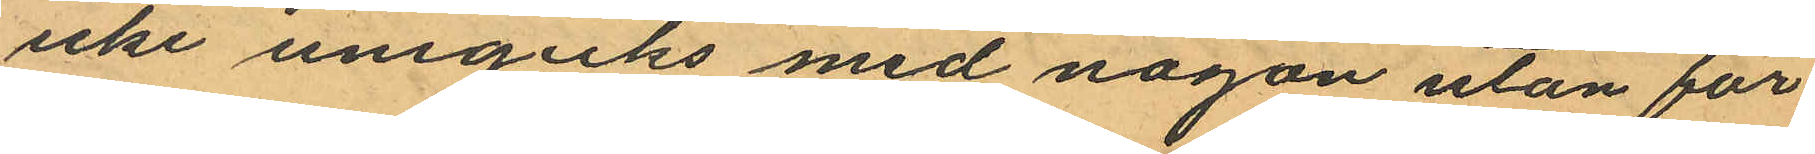icke ungicks med någon utan för
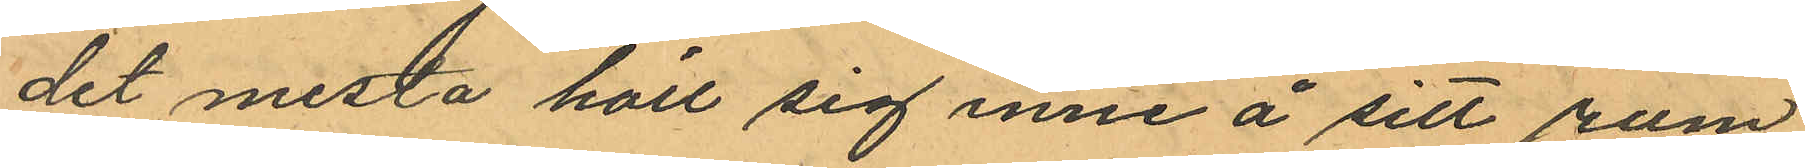det mesta höll sig inne å sitt rum
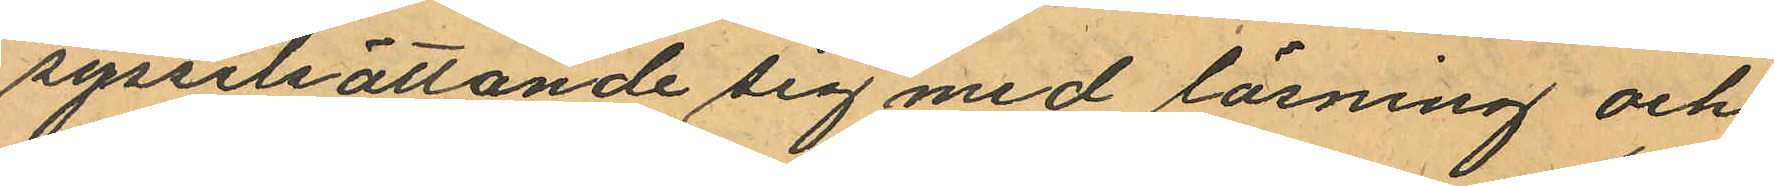sysselsättande sig med läsning och
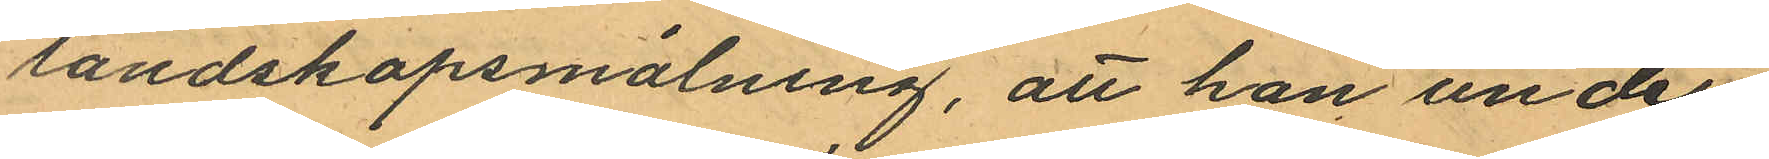landskapsmålning, att han under
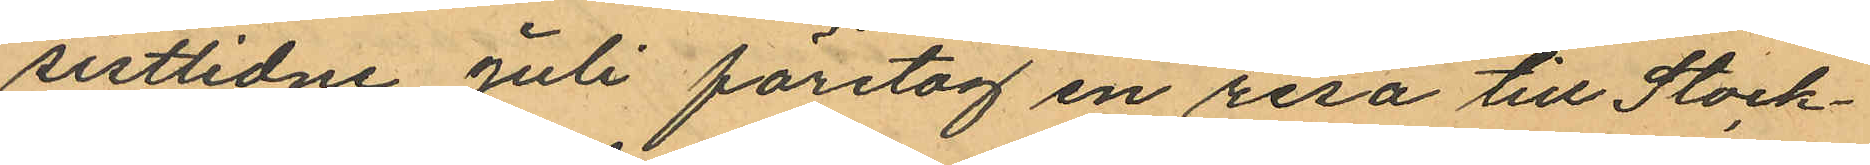sistlidne Juli företog en resa till Stock¬
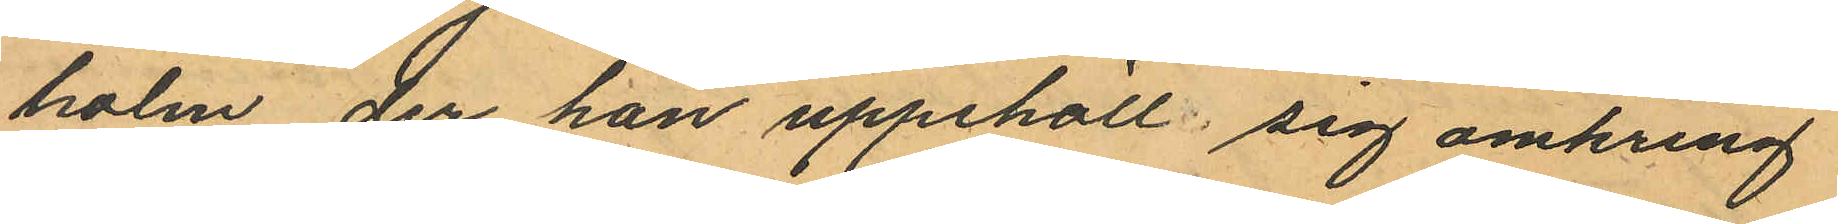holm, der han uppehöll sig omkring
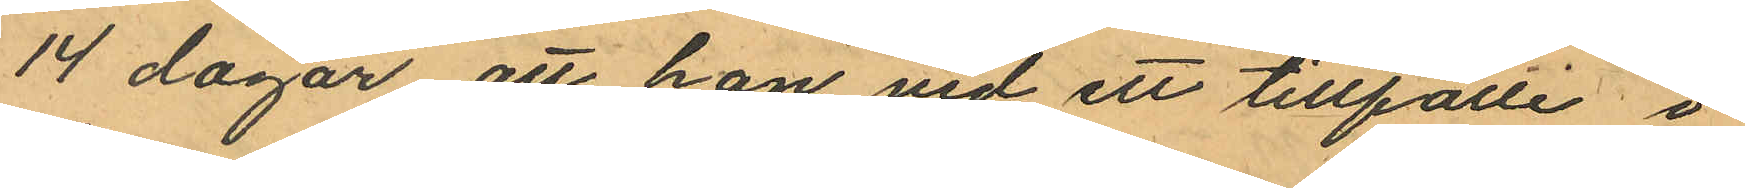14 dagar att han vid ett tillfälle i
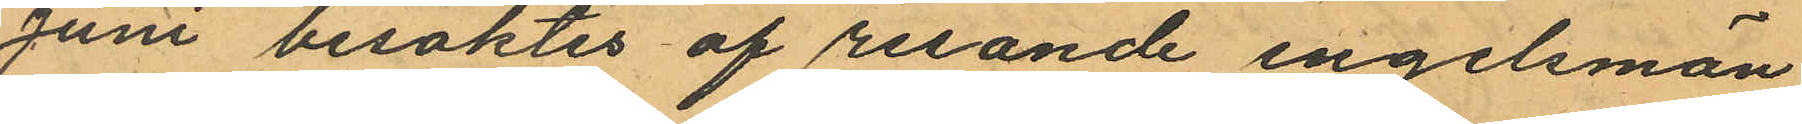Juni besöktes af resande engelsmän
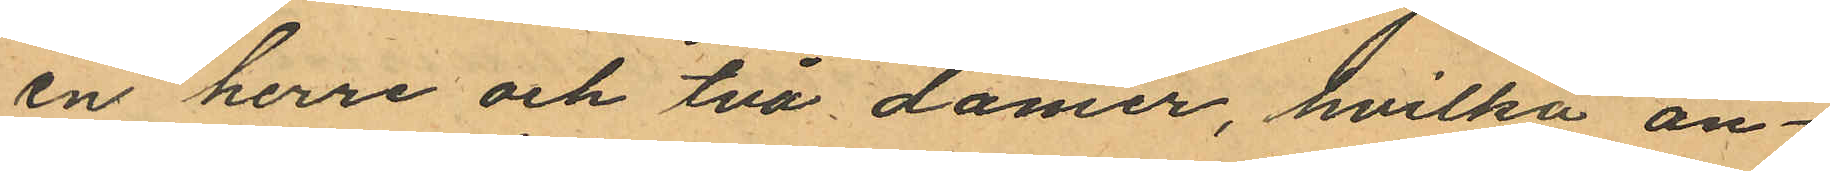en herre och två damer, hvilka an¬
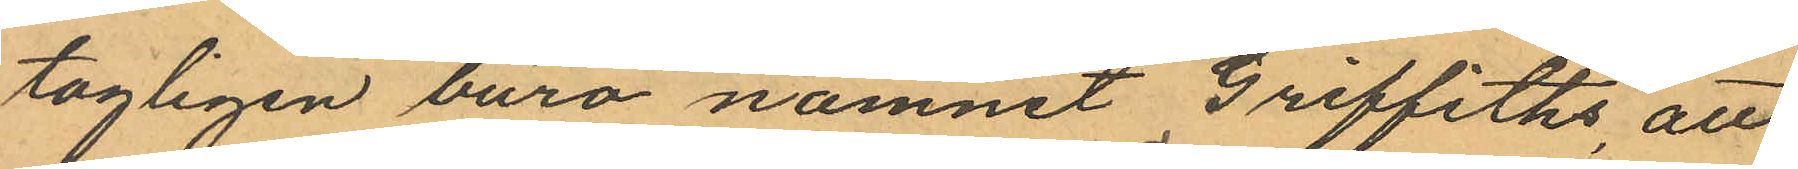tagligen buro namnet Griffiths, att
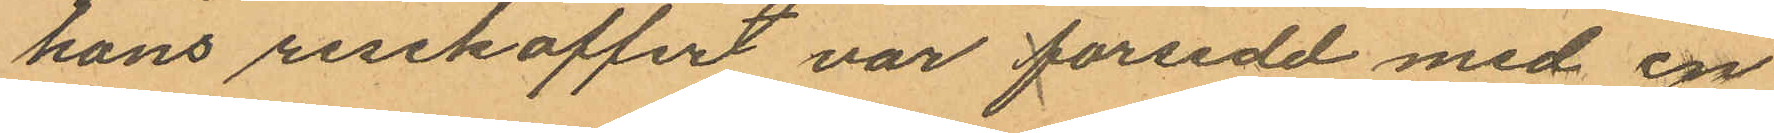hans resekoffert var försedd med en
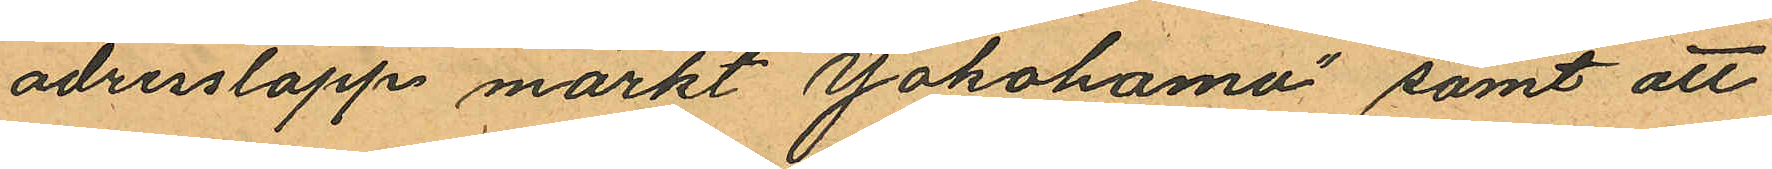adresslapp märkt "Yokohama" samt att
